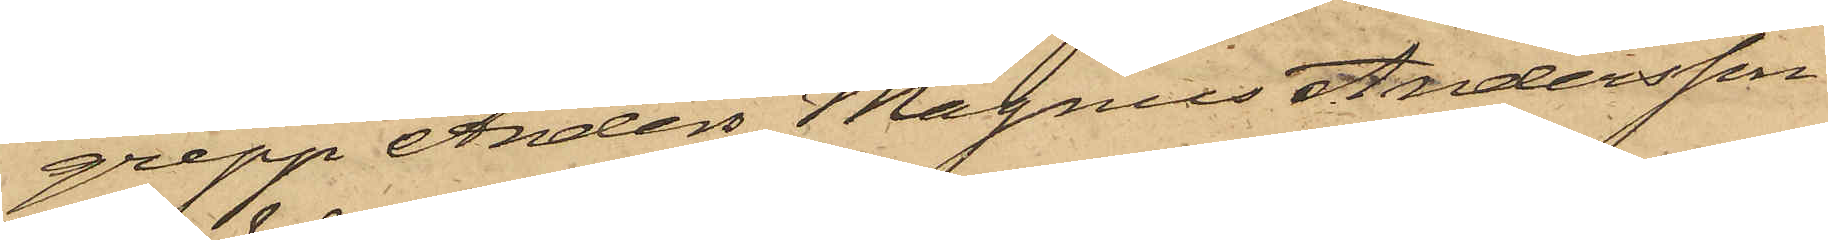grepp Anders Magnus Andersson
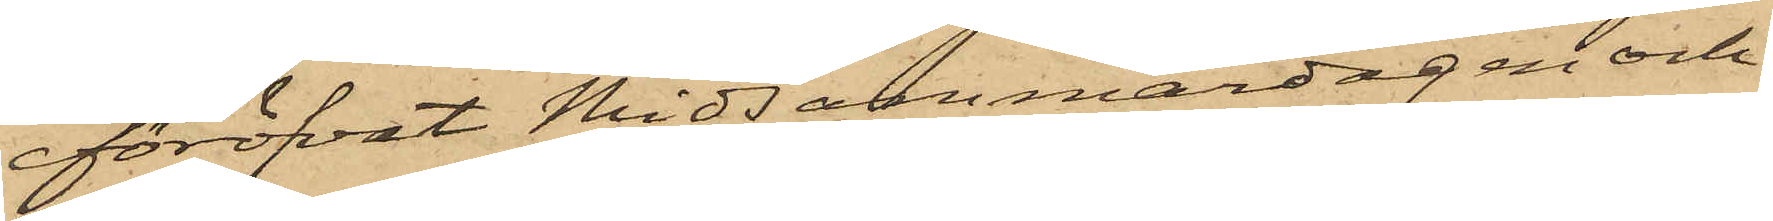föröfvat Midsommardagen och
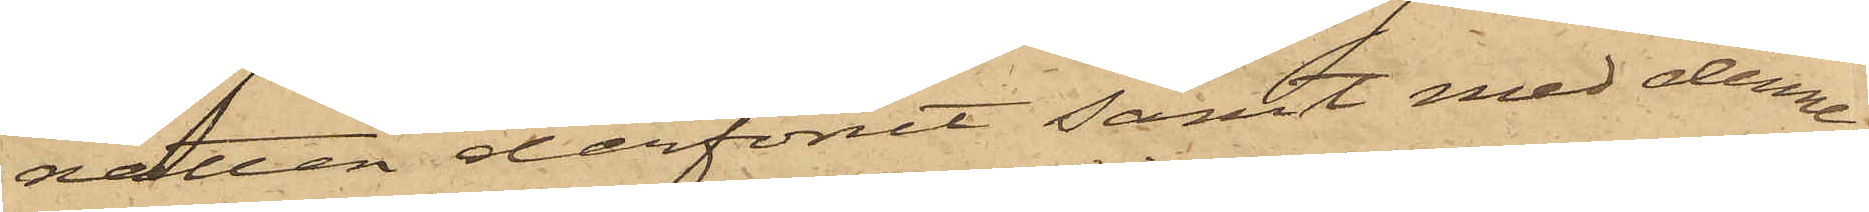natten derförut samt med denna
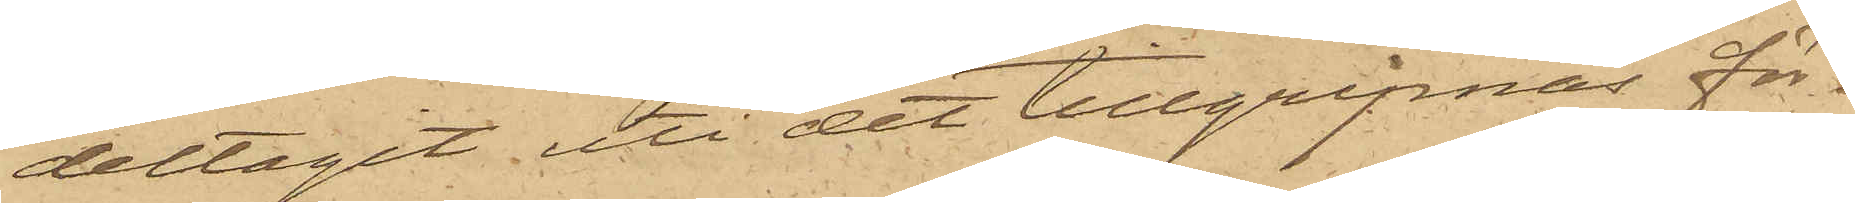deltagit uti det tillgripnas för¬
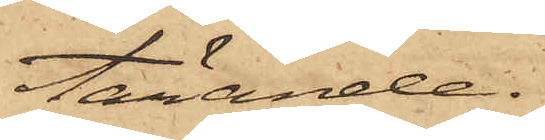tärande.
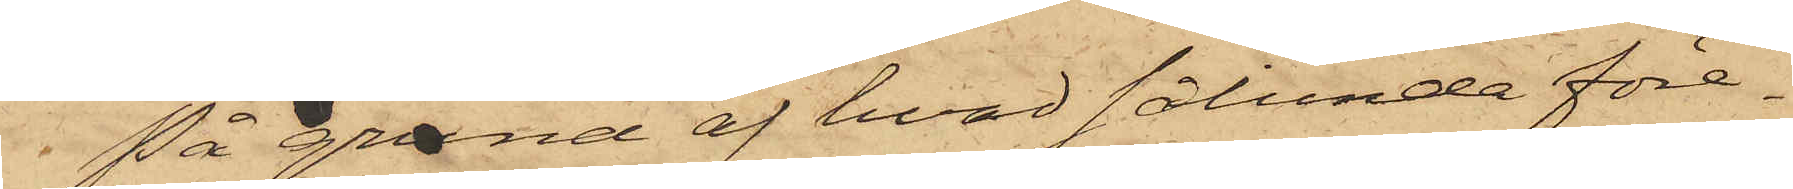På grund af hvad sålunda före¬
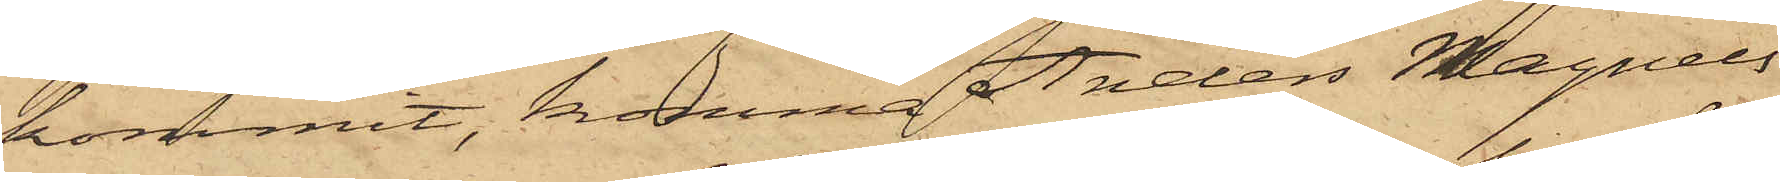kommit, komma Anders Magnus
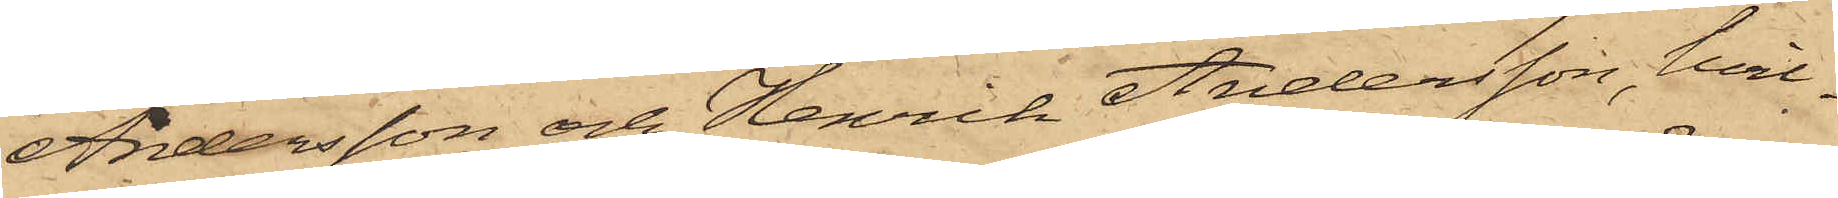Andersson och Henrik Andersson, hvil¬
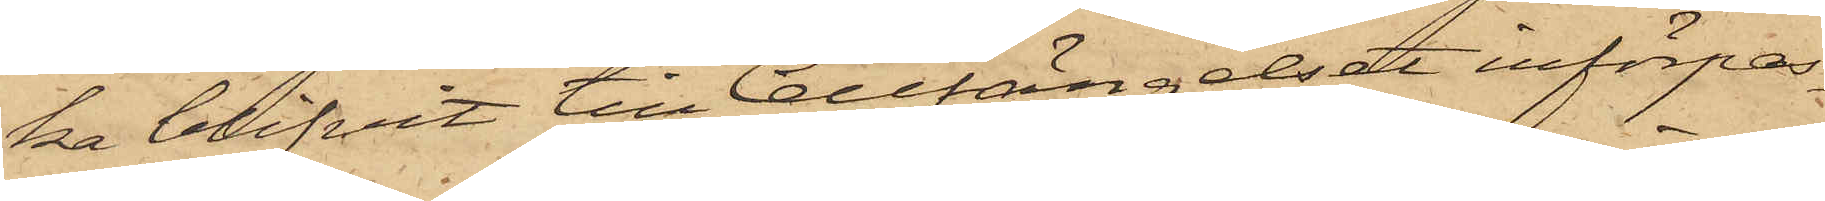ka blifvit till Cellfängelset införpas¬
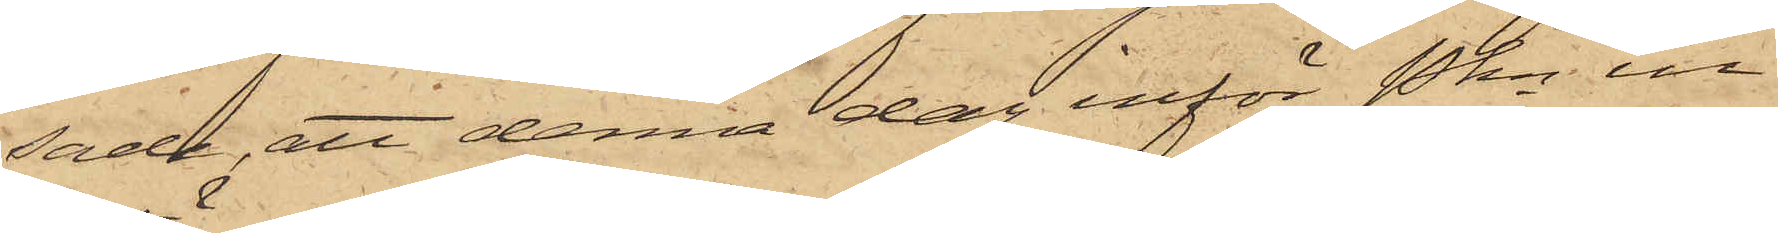sade, att denna dag inför Pkn in¬
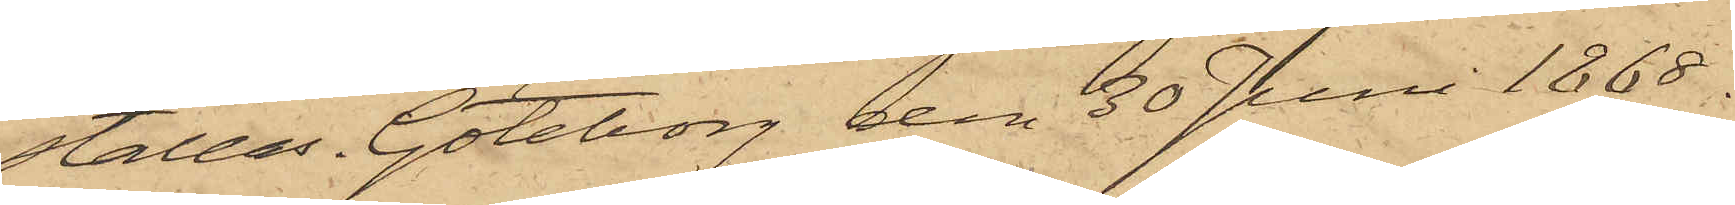ställas. Göteborg den 30 Juni 1868.
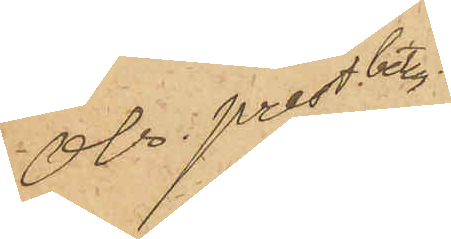obs. prestbetyg
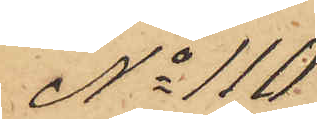No 110
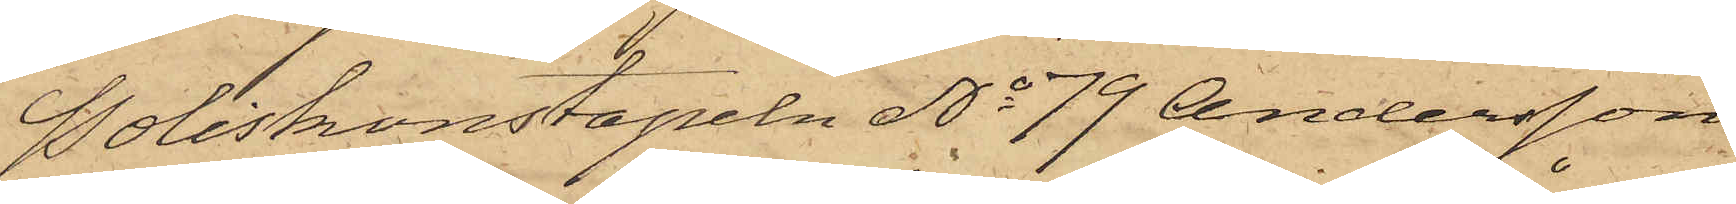Poliskonstapeln No 79 Andersson,
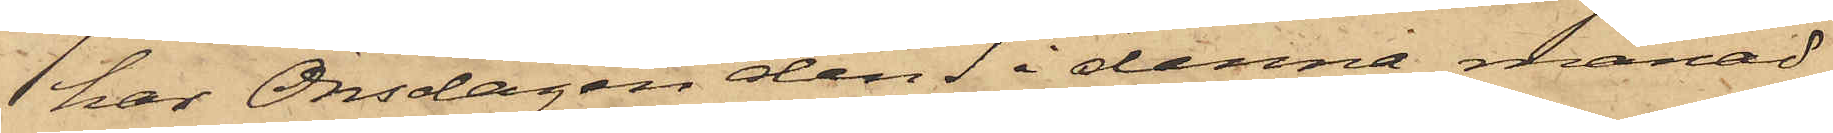har Onsdagen den 1 i denna månad
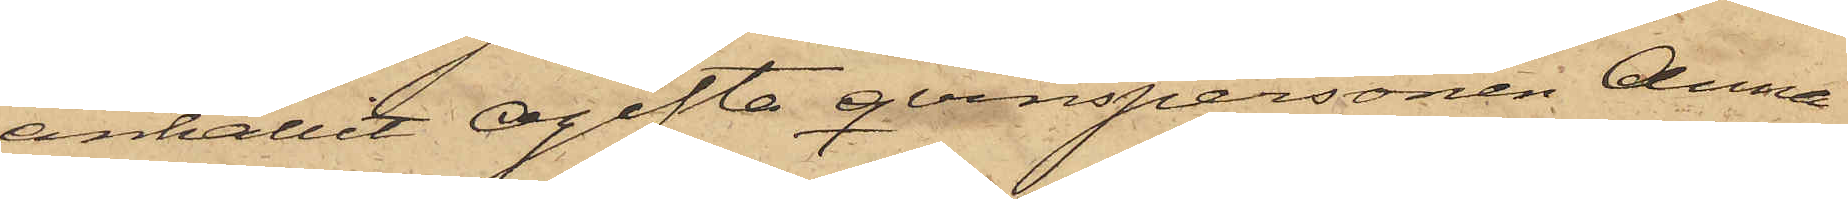anhållit Ogifta qvinspersonen Anna
